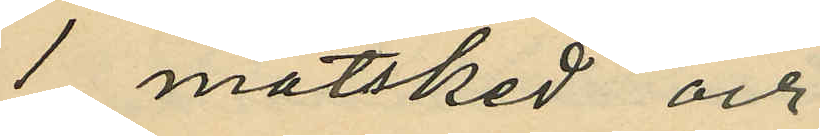1 matsked och
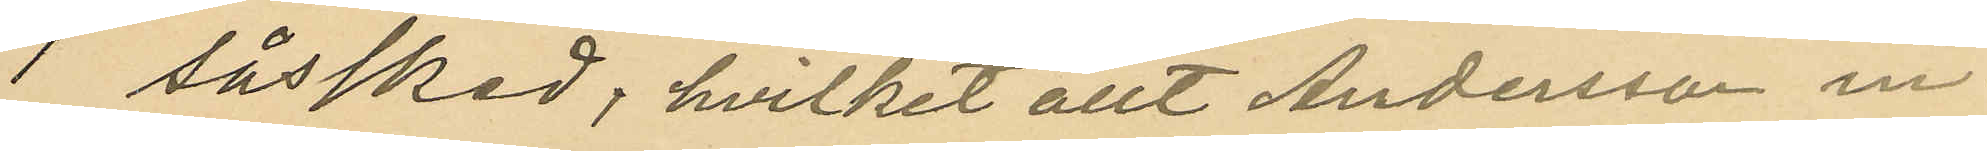1 såssked; hvilket allt Andersson in¬
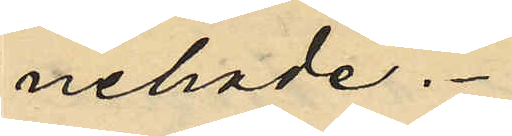nehade.
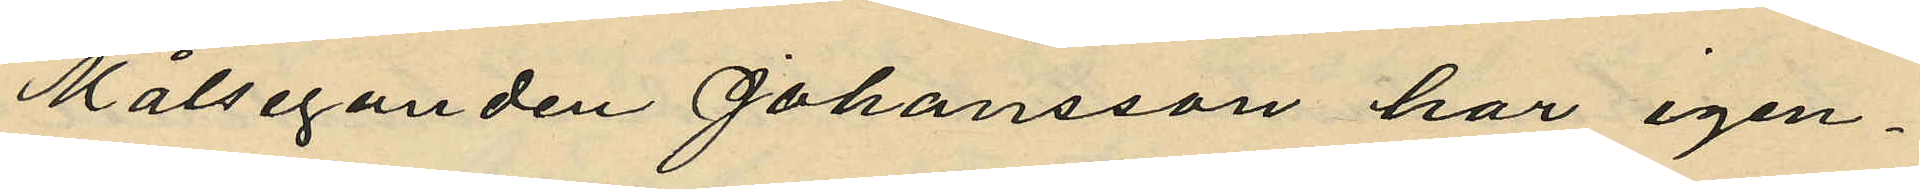Målseganden Johansson har igen¬
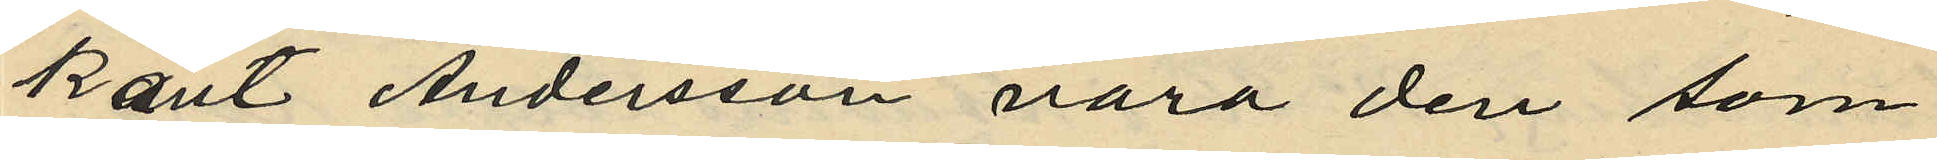känt Andersson vara den som
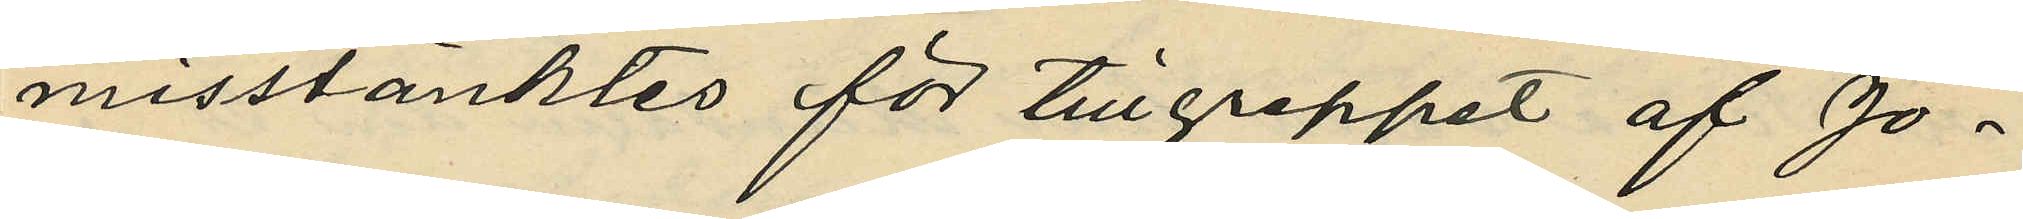misstänktes för tillgreppet af Jo¬
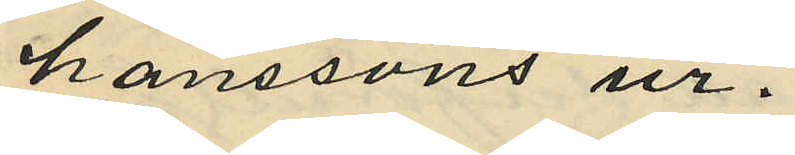hanssons ur.
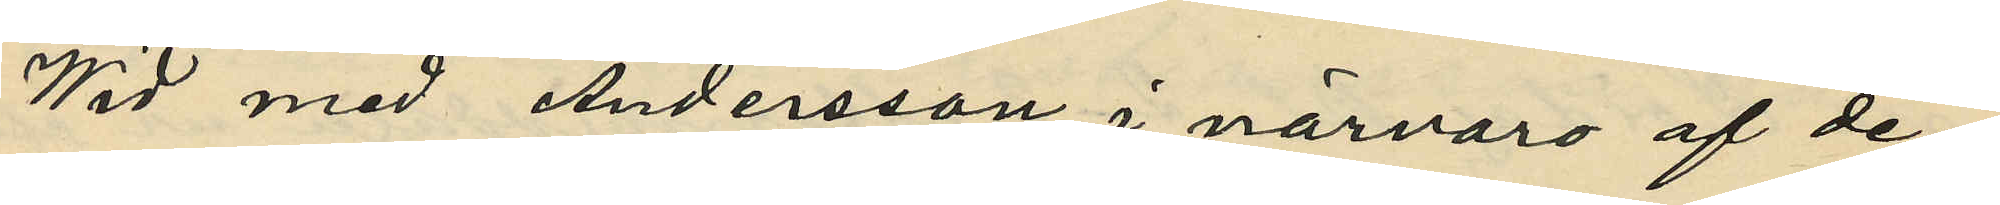Wid med Andersson, i närvaro af de¬
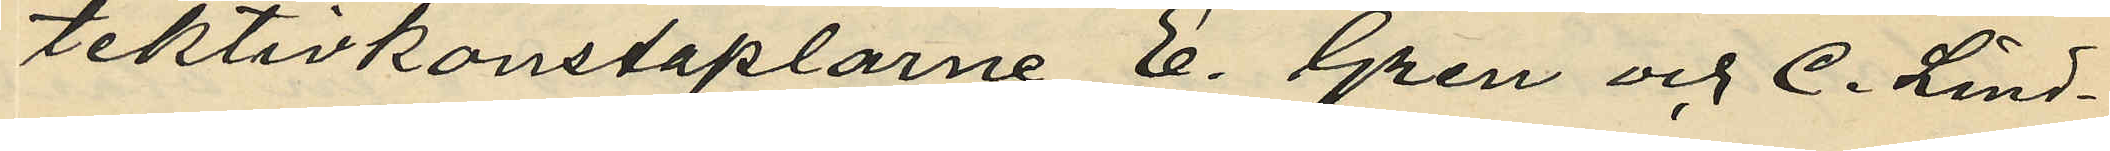tektivkonstaplarne E. Gren och C. Lind¬
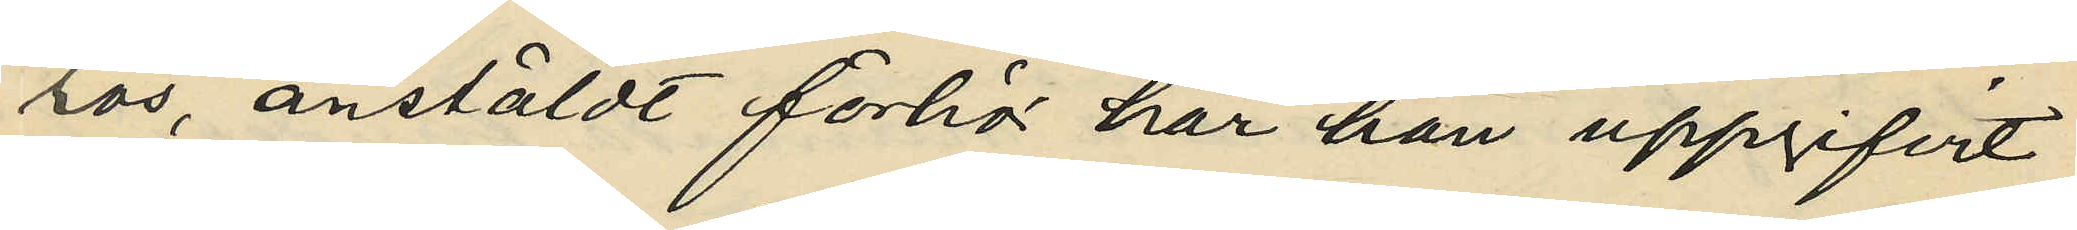ros, anstäldt förhör har han uppgifvit
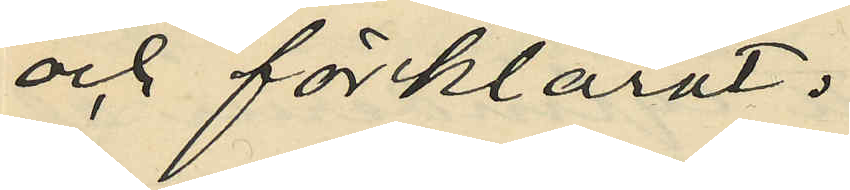och förklarat:
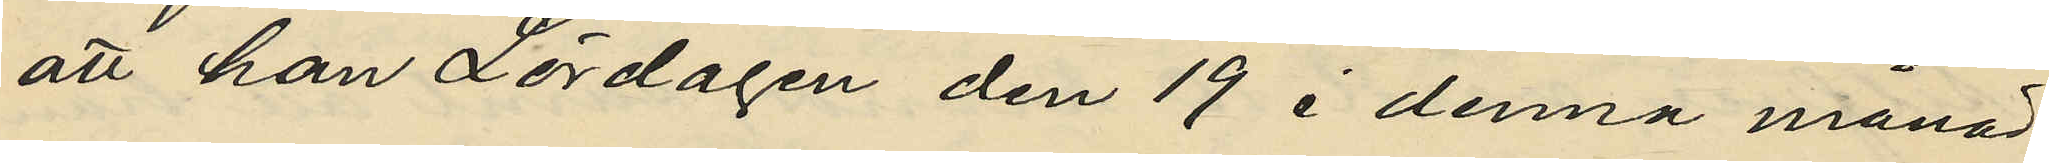att han Lördagen den 19 i denna månad
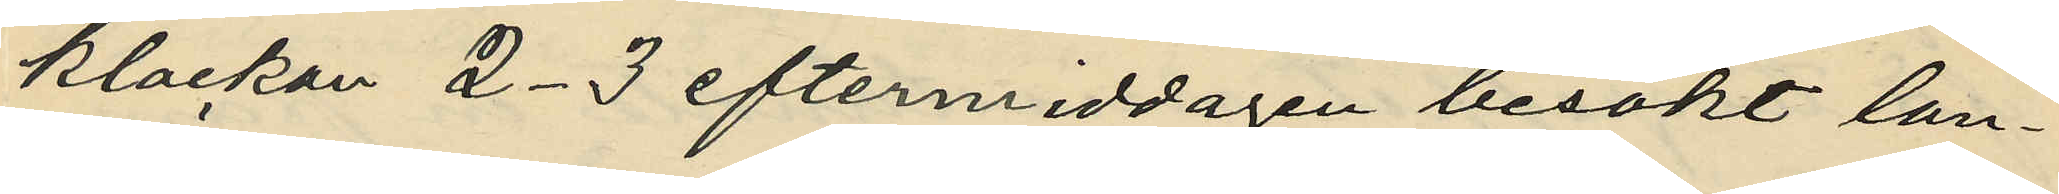klockan 2-3 eftermiddagen besökt lan¬
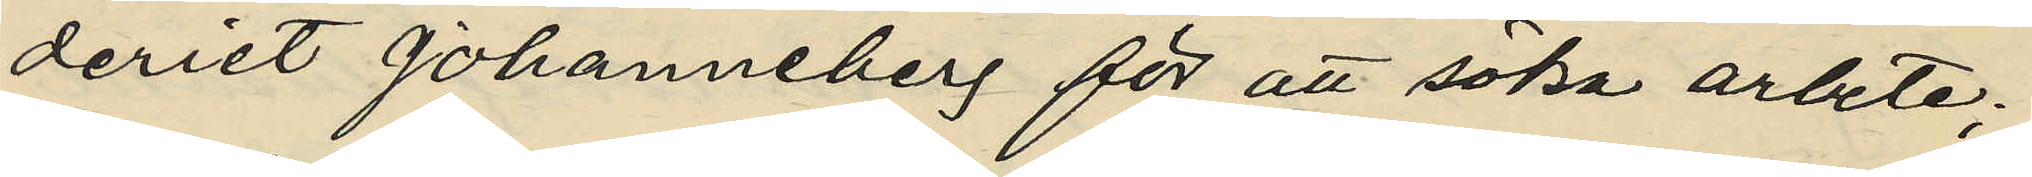deriet Johanneberg för att söka arbete,
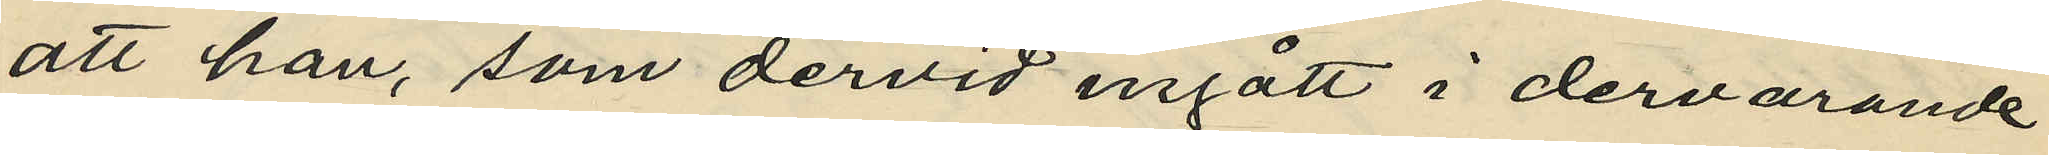att han, som dervid ingått i dervarande
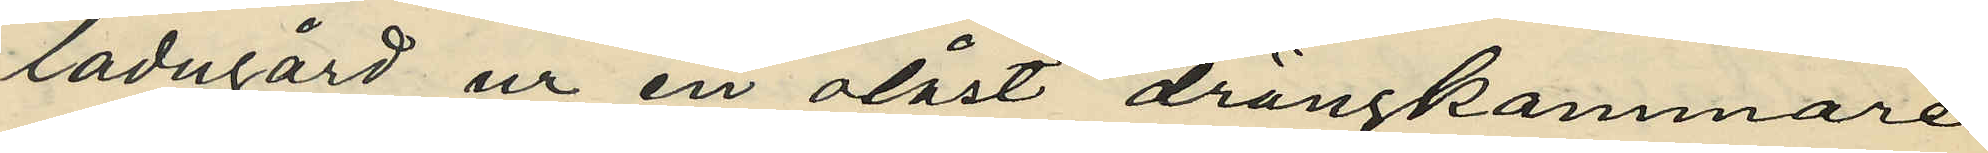ladugård ur en olåst drängkammare
